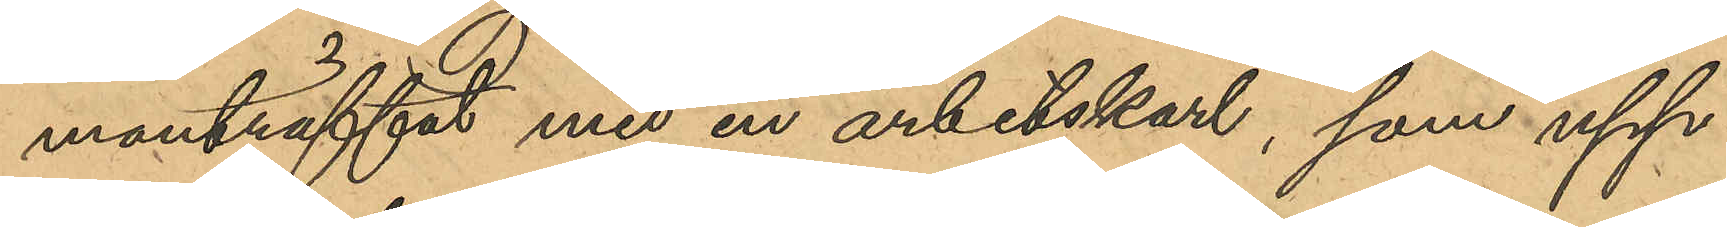manträffat med en arbetskarl, som upp¬
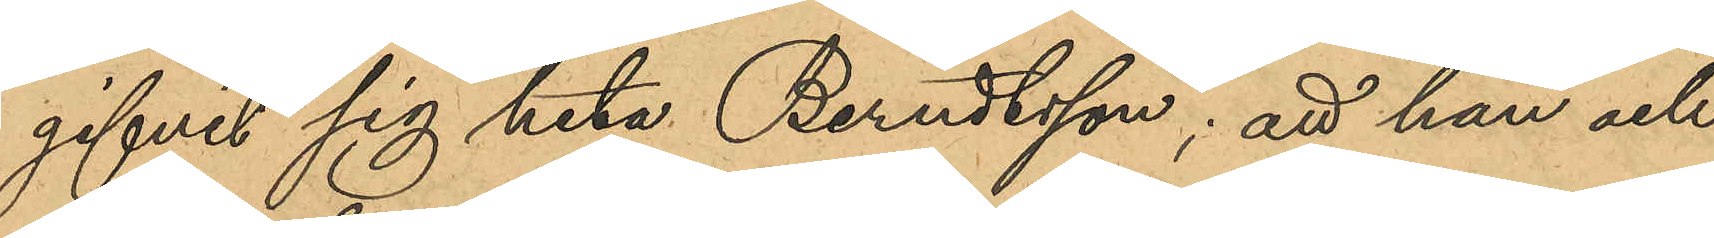gifvit sig heta Berndtsson; att han och
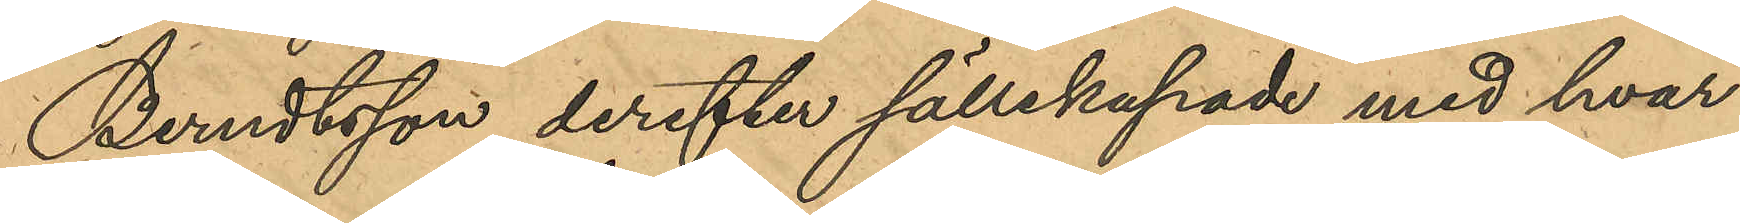Berndtsson derefter sällskapat med hvar¬
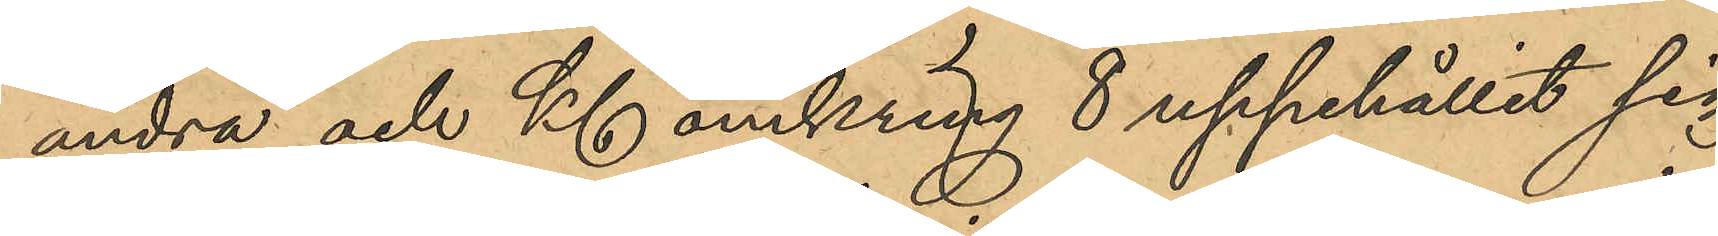andra och Kl omkring 8 uppehållit sig
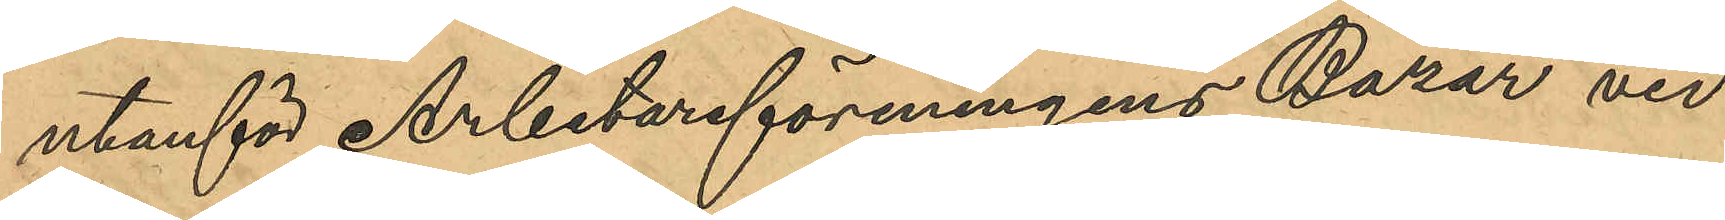utanför Arbetareföreningens Bazar vid
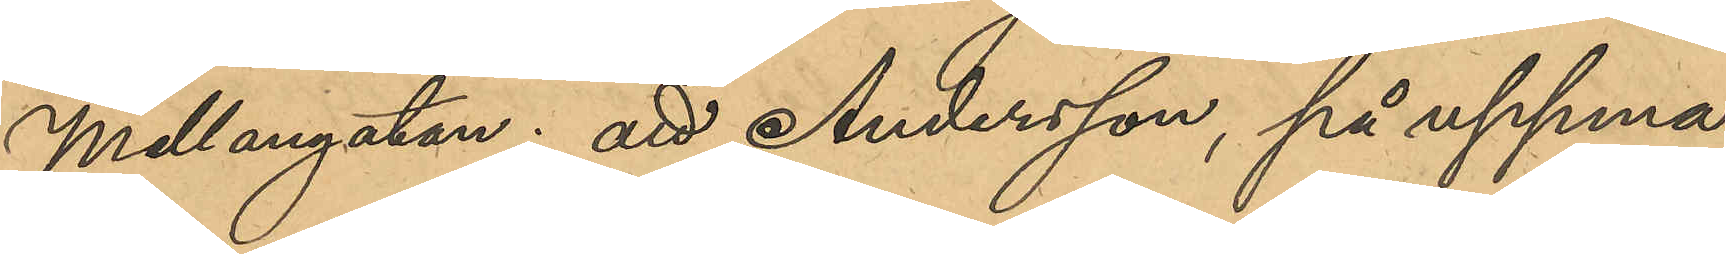Mellangatan; att Andersson, på uppma¬
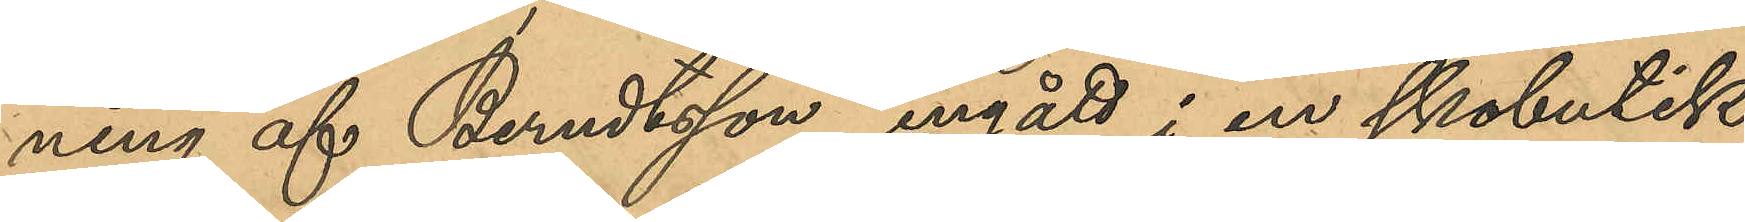ning af Berndtsson, ingått i en skobutik,
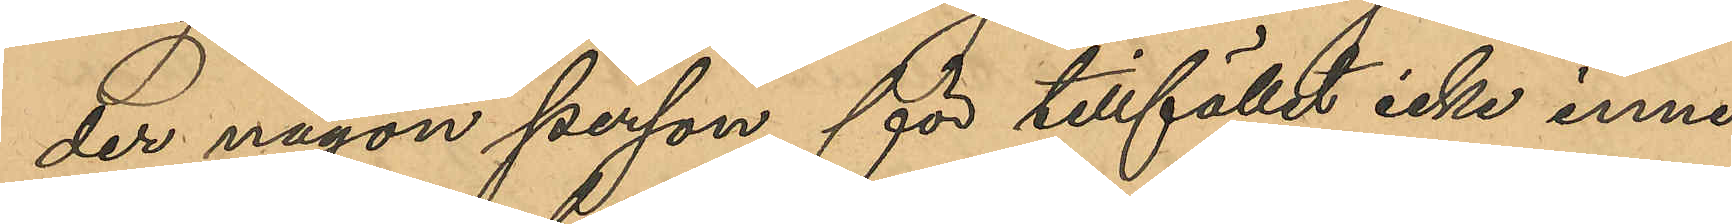der någon person för tillfället icke inne¬
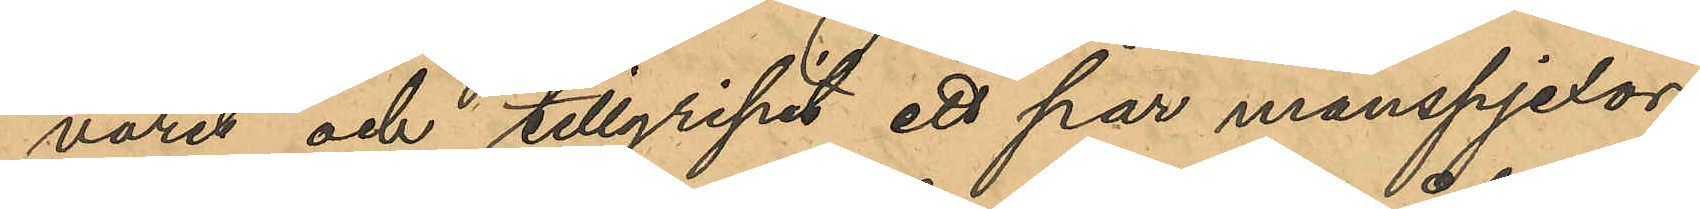varit och tillgripit ett par manspjexor;
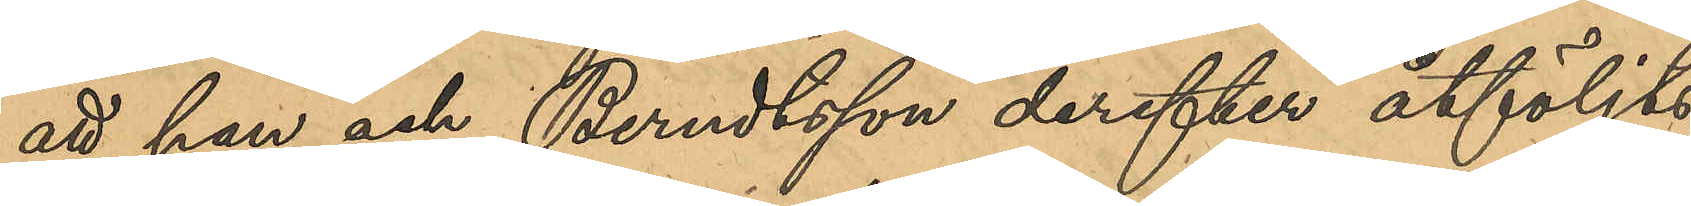att han och Berndtsson derefter åtföljts
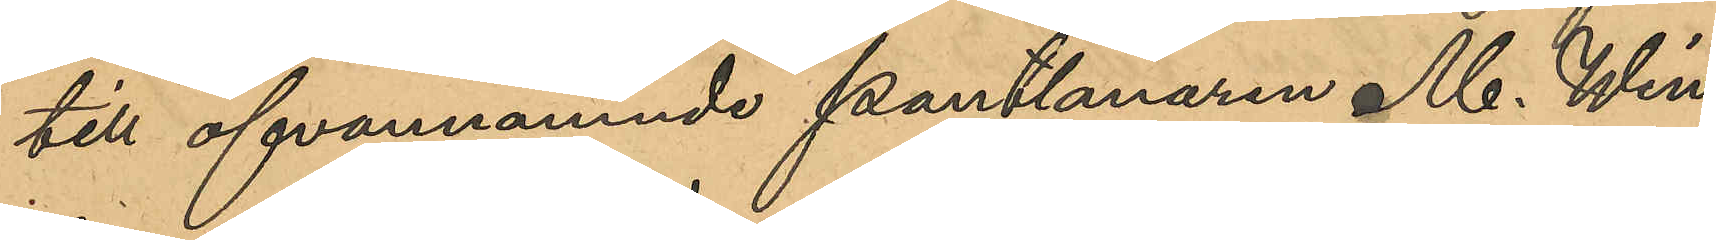till ofvannämnde pantlånaren M. Win¬
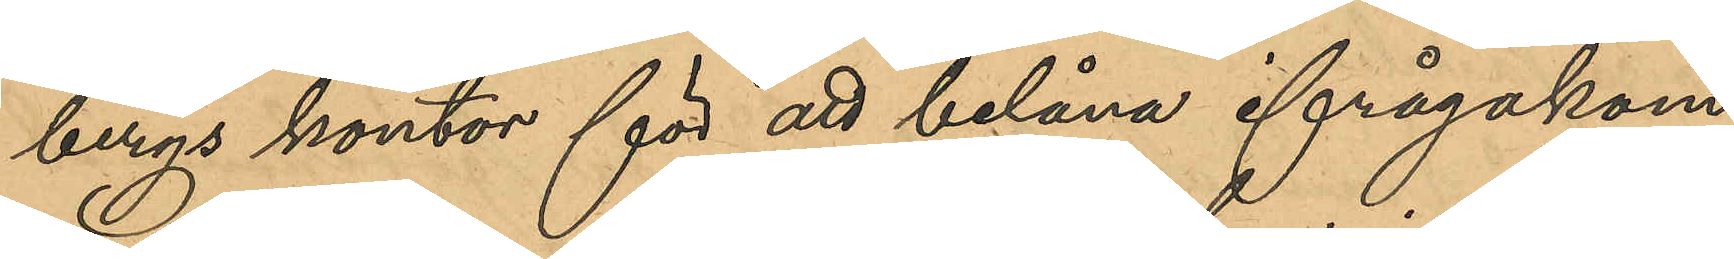bergs kontor för att belåna ifrågakom¬
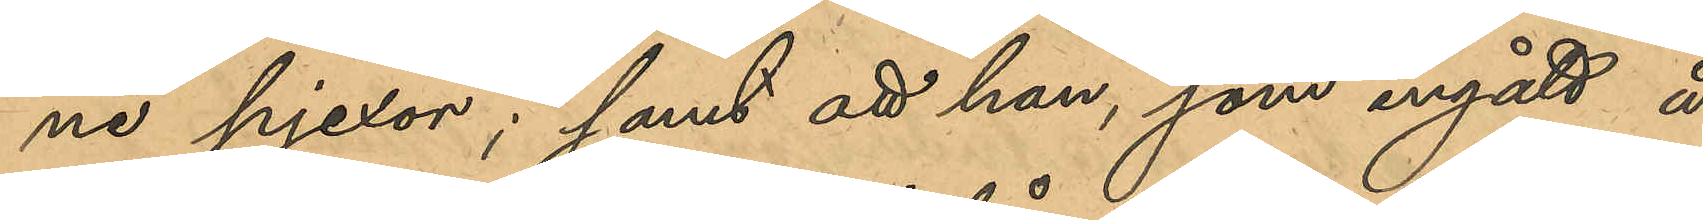ne pjexor; samt att han, som ingått å
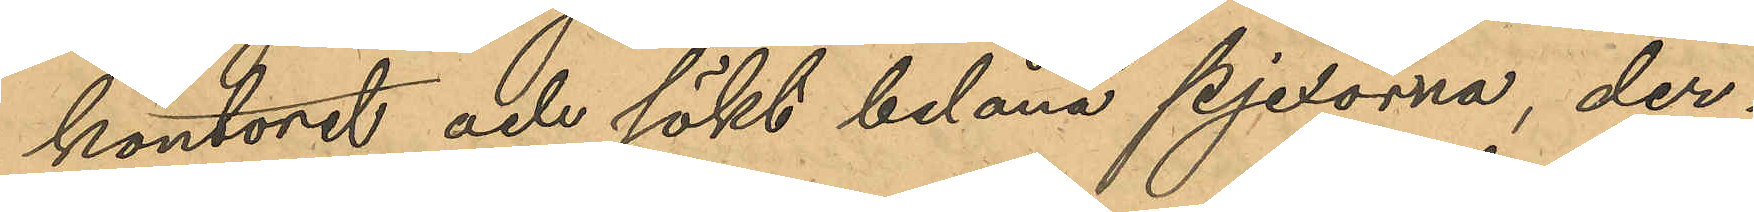kontoret och sökt belåna pjexorna, der¬
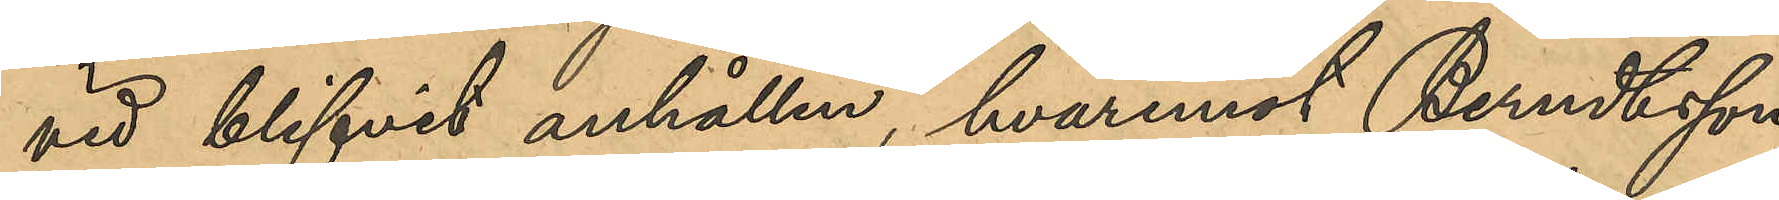vid blifvit anhållen, hvaremot Berndtsson,
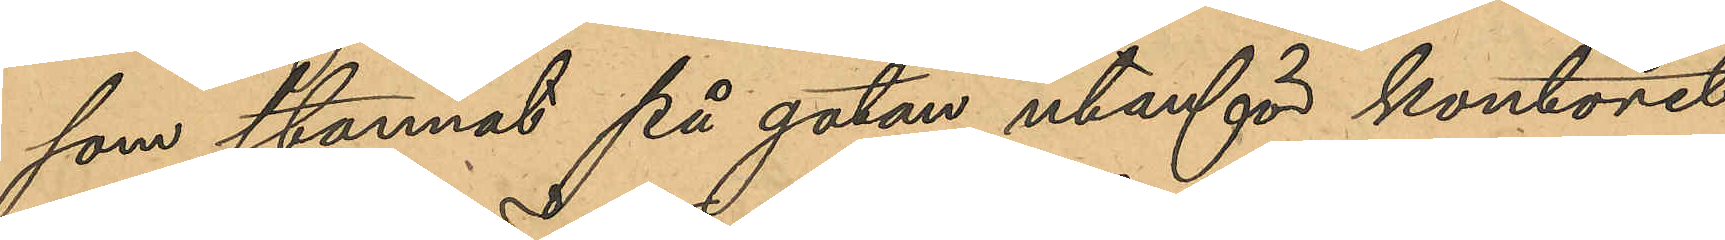som stannat på gatan utanför kontoret
